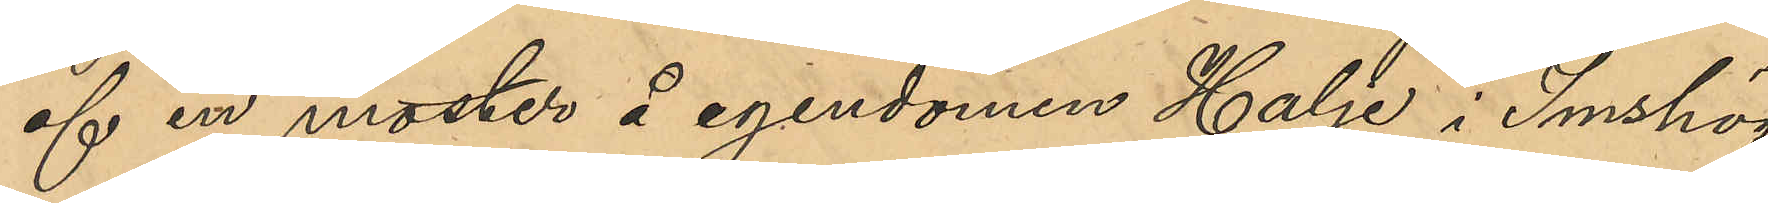af en moster å egendomen Halje i Imshög
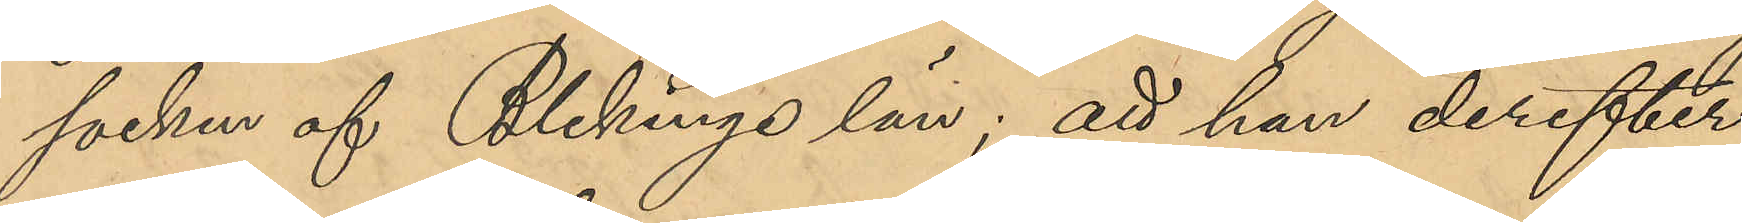socken af Blekinge län; att han derefter
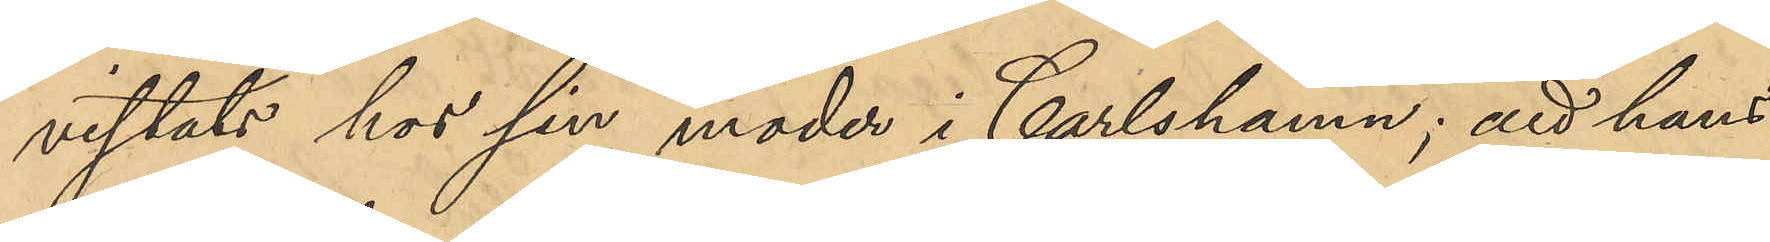vistats hos sin moder i Carlshamn; att hans
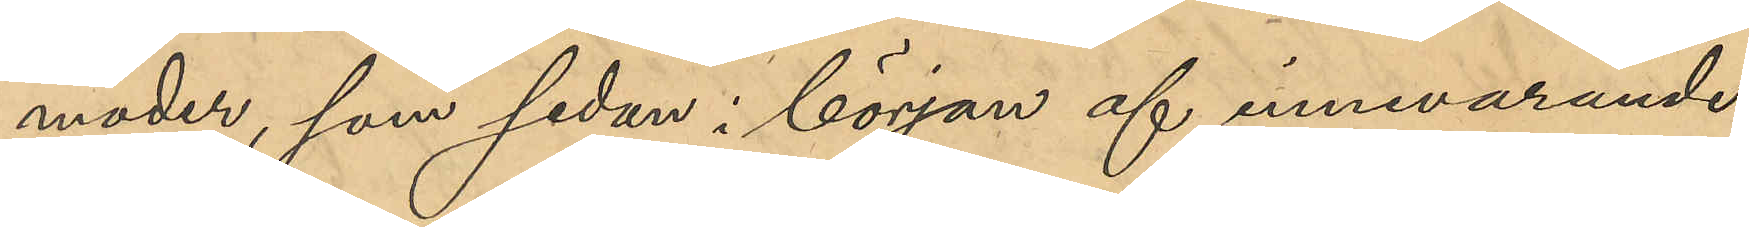moder, som sedan i början af innevarande
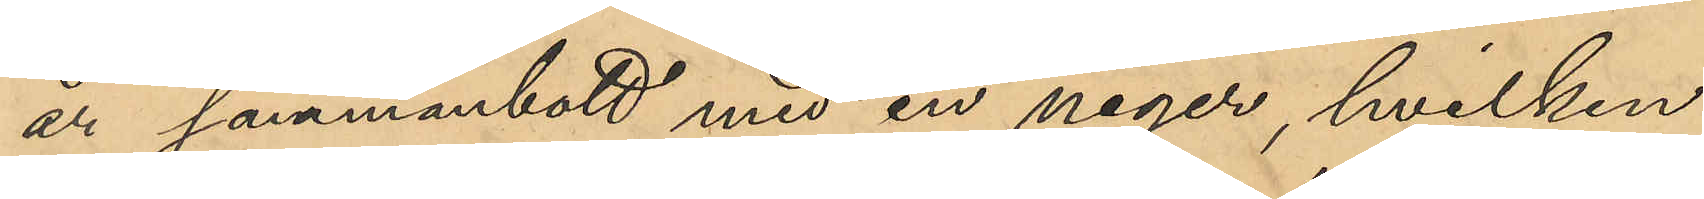år sammanbott med en neger, hvilken
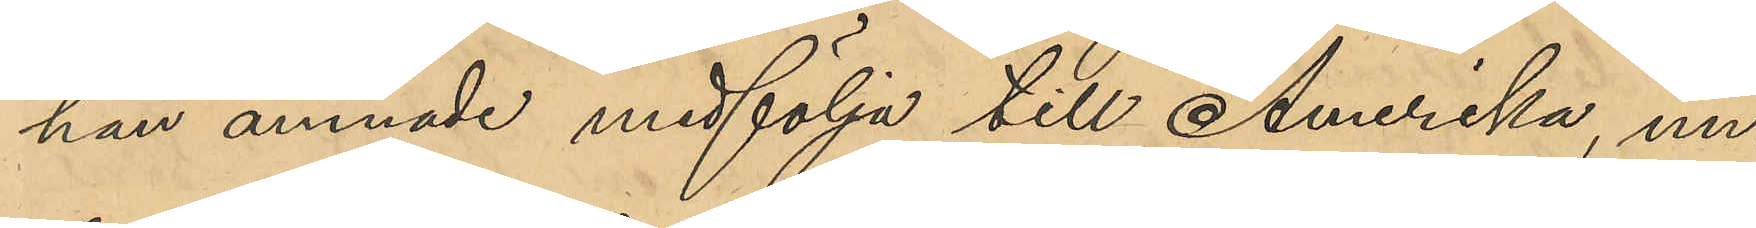hon ämnade medfölja till Amerika, un¬
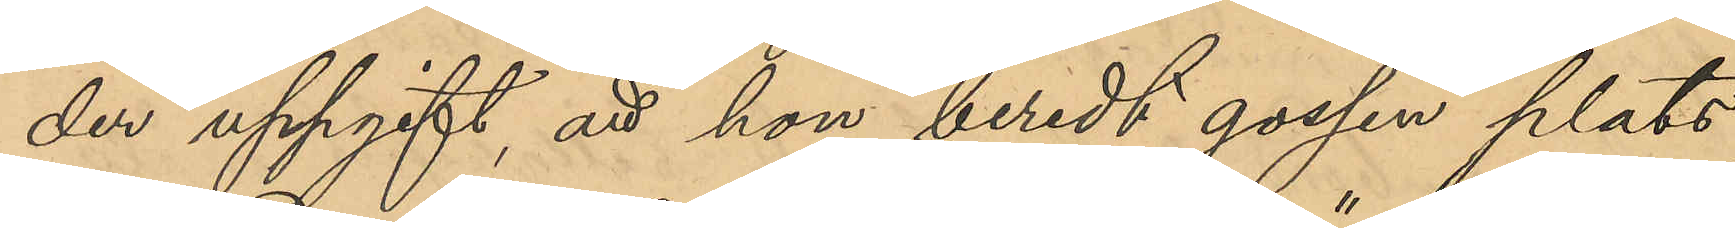der uppgift, att hon beredt gossen plats
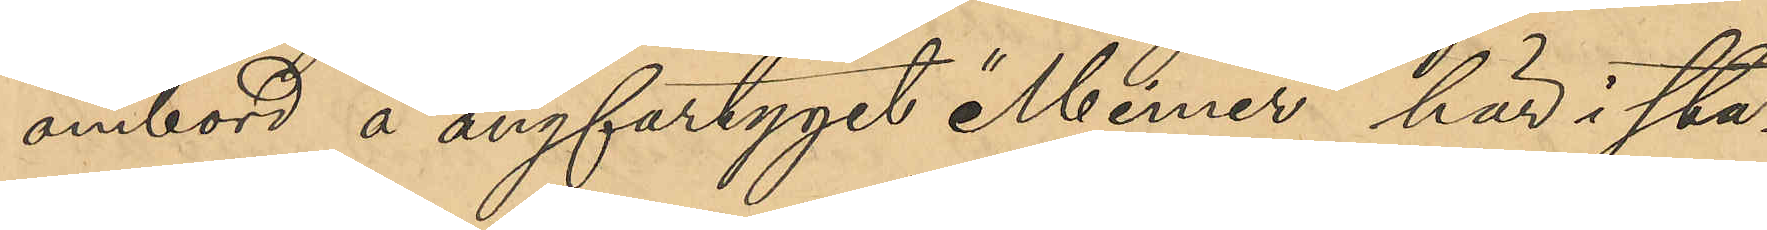ombord å ångfartyget "Mimer" här i sta¬
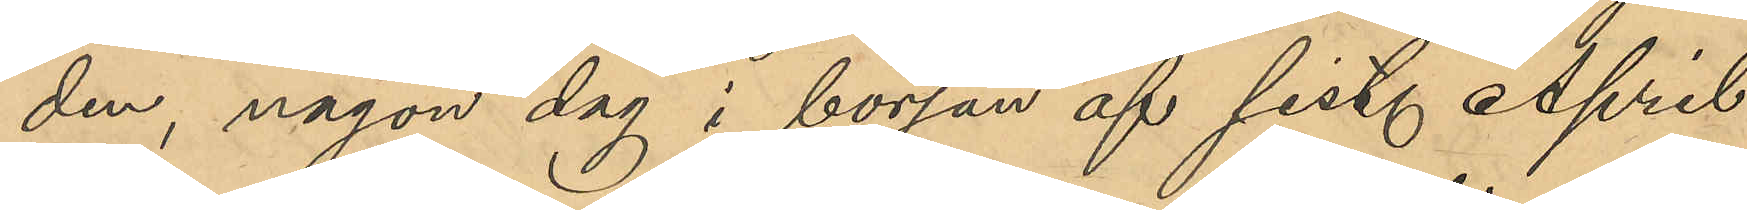den, någon dag i början af sist. April
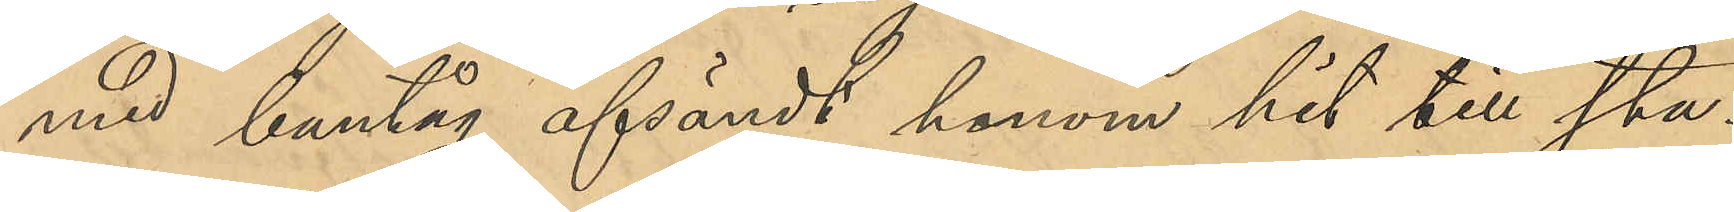med bantåg afsändt honom hit till sta¬
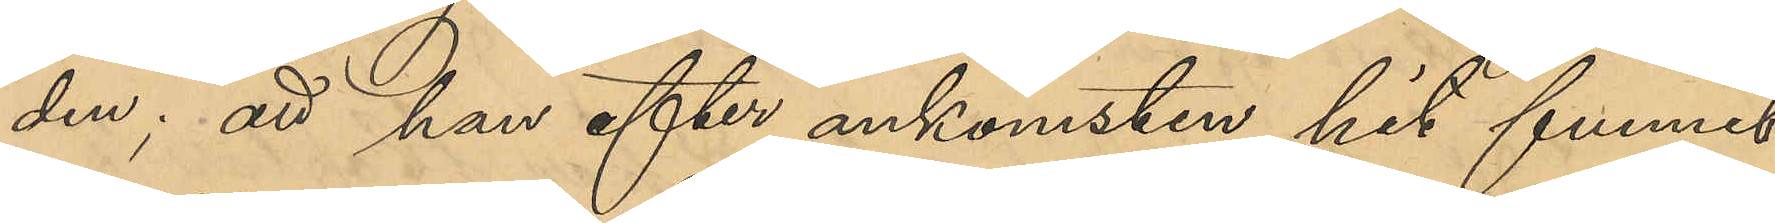den; att han efter ankomsten hit funnit
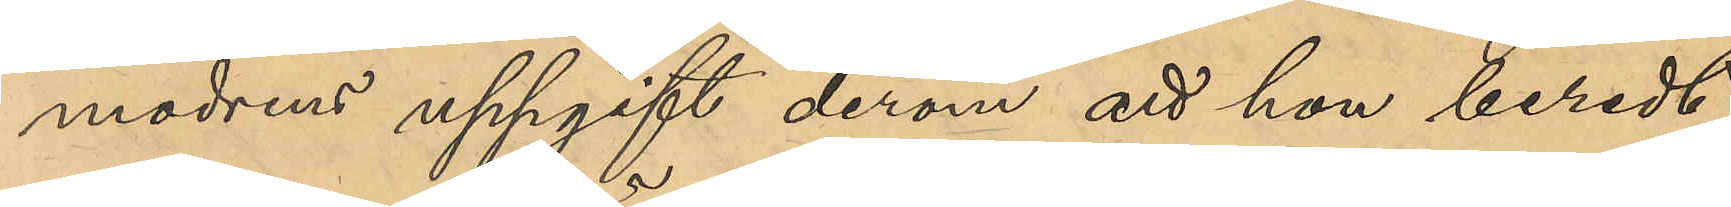modrens uppgift derom att hon beredt
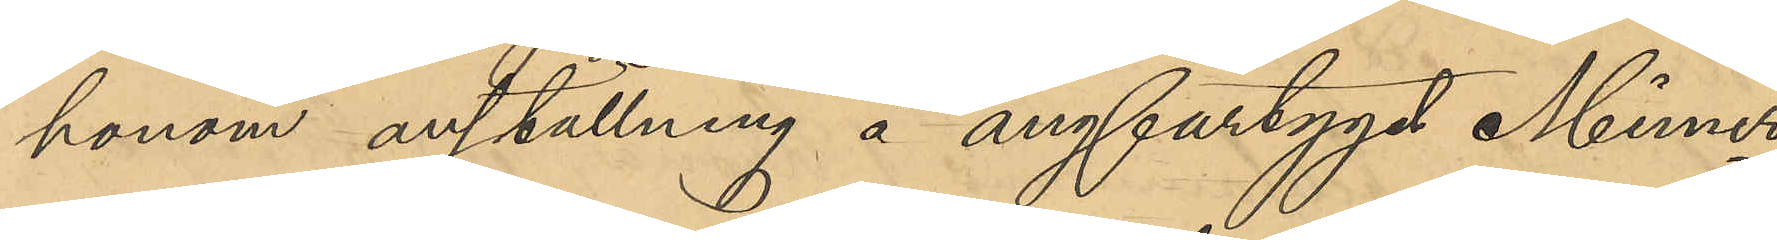honom anställning å ångfartyget Mimer,
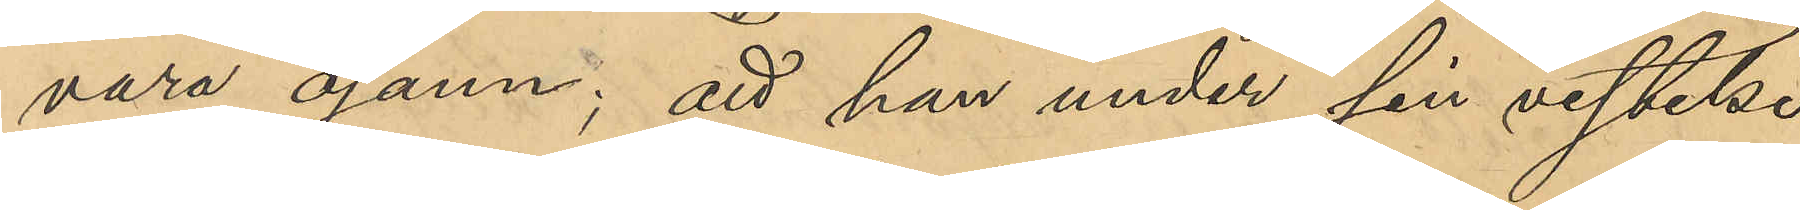vara osann; att han under sin vistelse
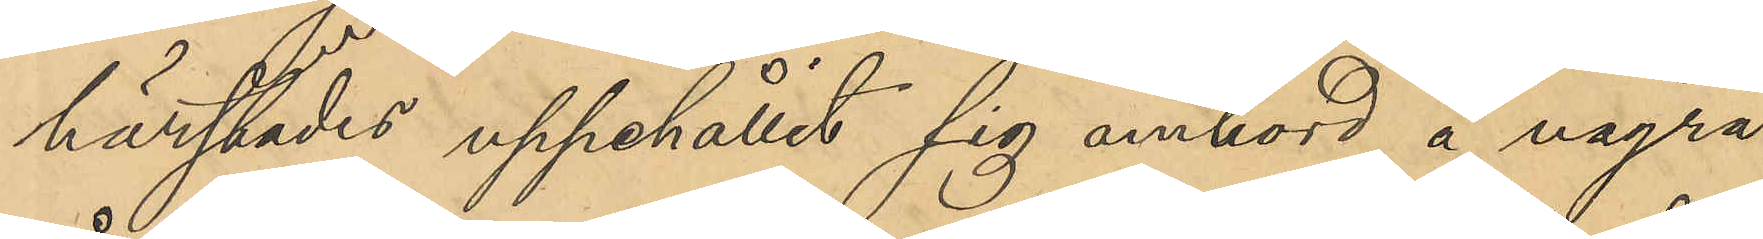härstädes uppehållit sig ombord å några
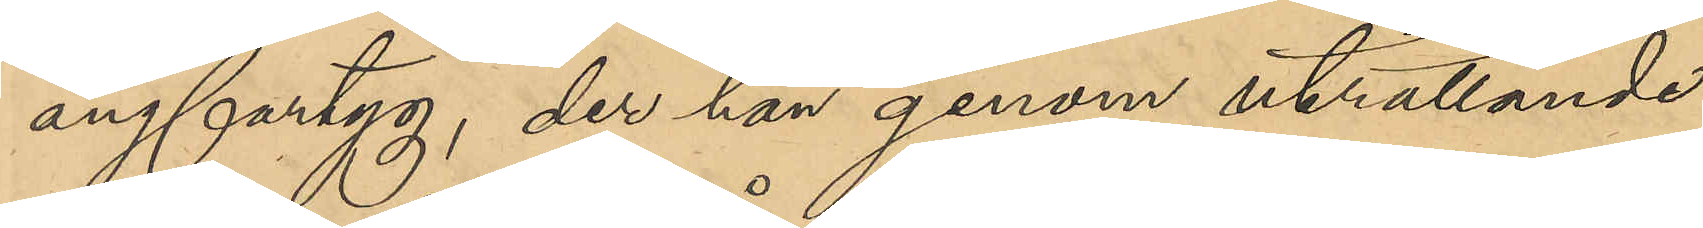ångfartyg, der han genom uträttande
